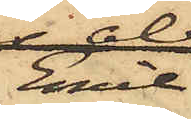Emil
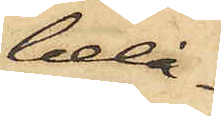belå¬
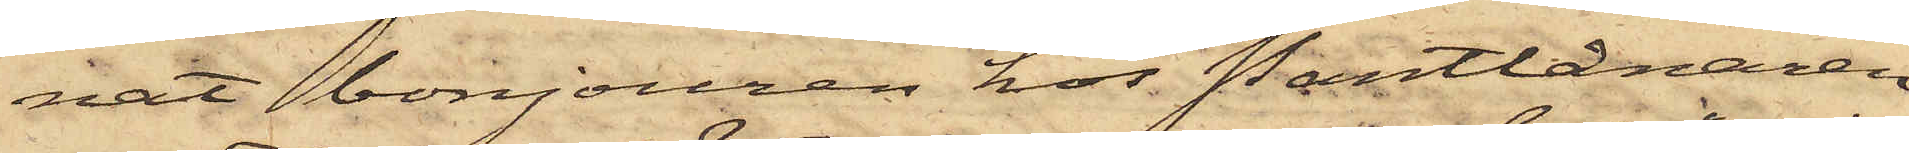nat bonjouren hos Pantlånaren
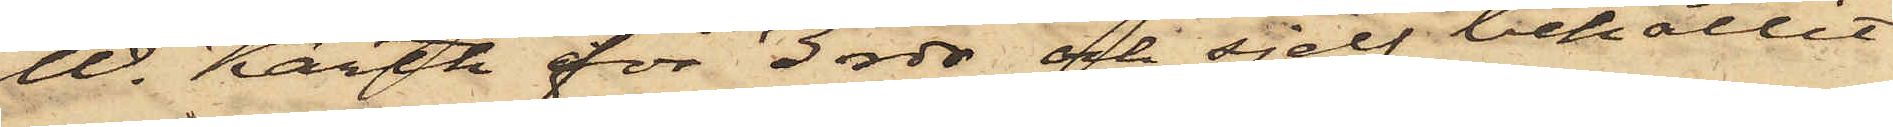W. Karth för 3 rdr och sjelf behållit
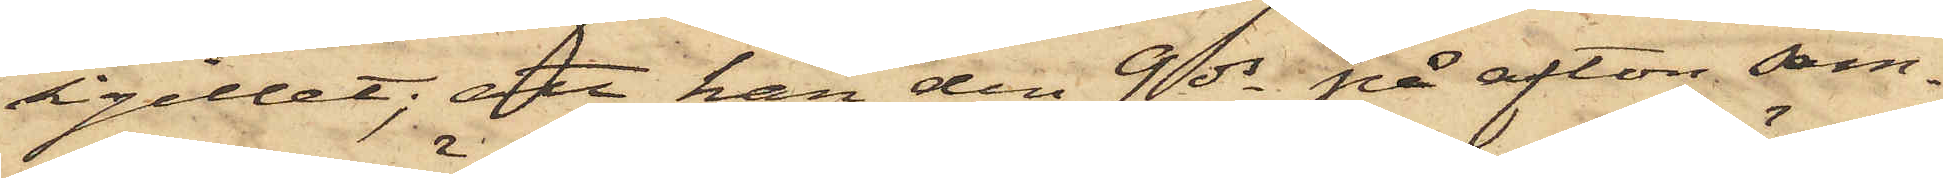sigillet; att han den 9 ds på afton sam¬
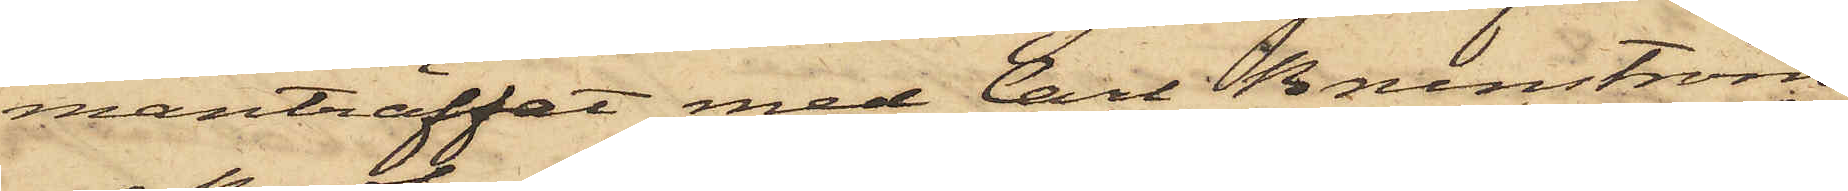manträffat med Carl Brunström
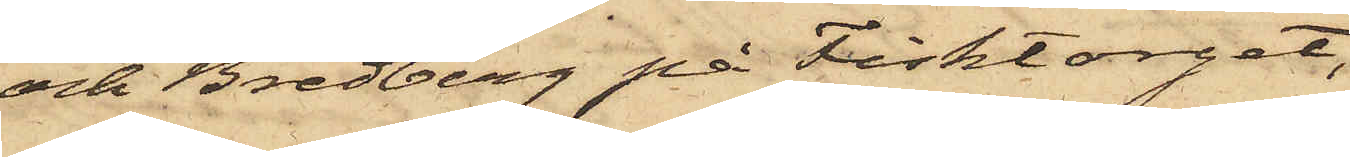och Bredberg på Fisktorget,
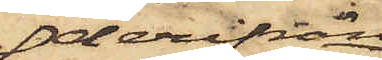derifrån
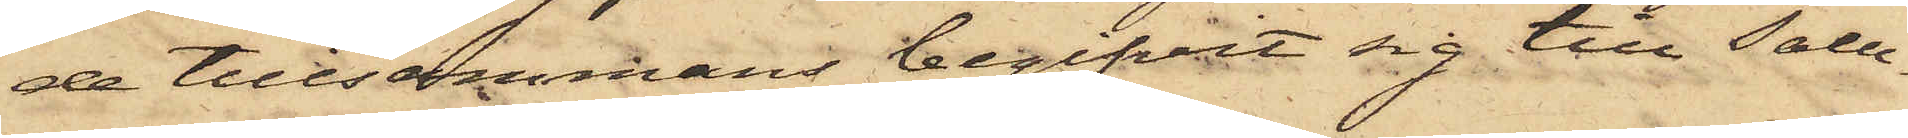de tillsammans begifvit sig till Salu¬
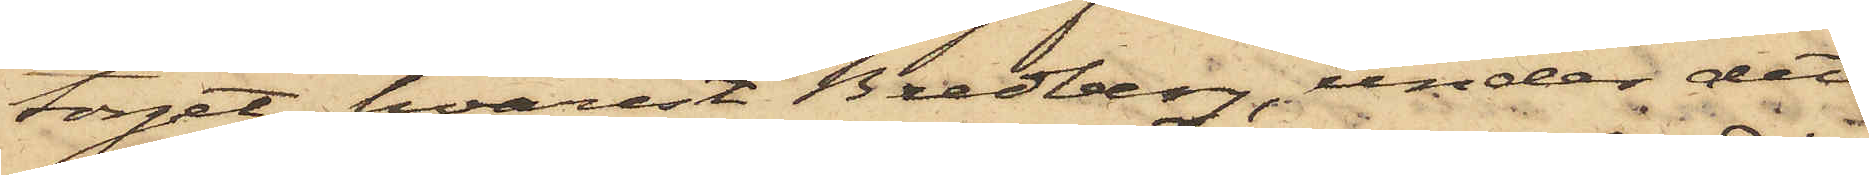torget, hvarest Bredberg, under det
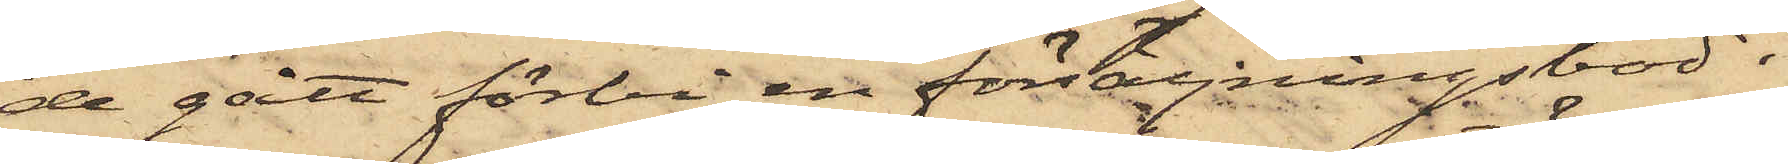de gått förbi en försäljningsbod i
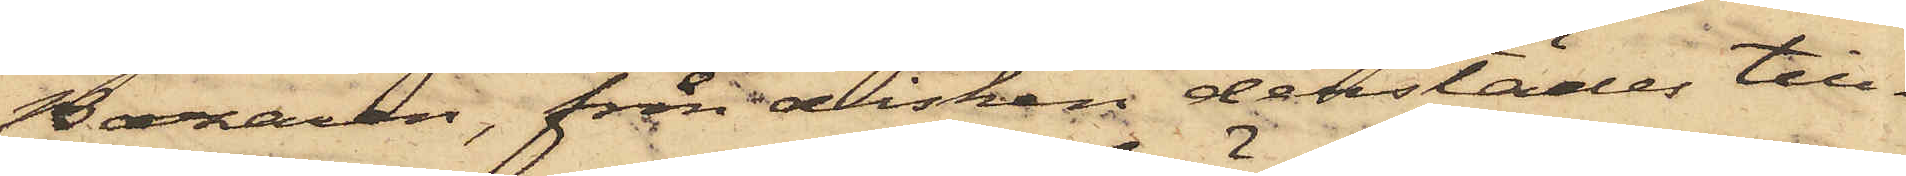Bazaren, från disken derstädes till¬
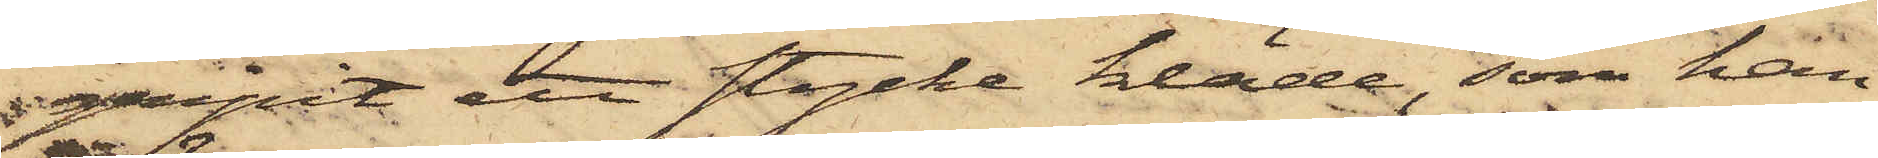gripit ett stycke kläde, som han
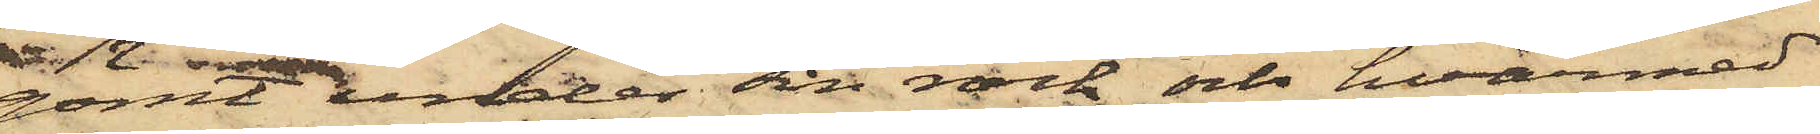 gömt under sin rock och hvarmed
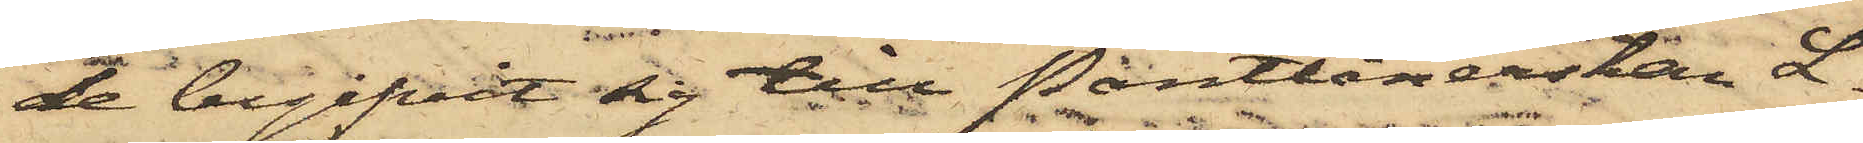de begifvit sig till Pantlånerskan L.
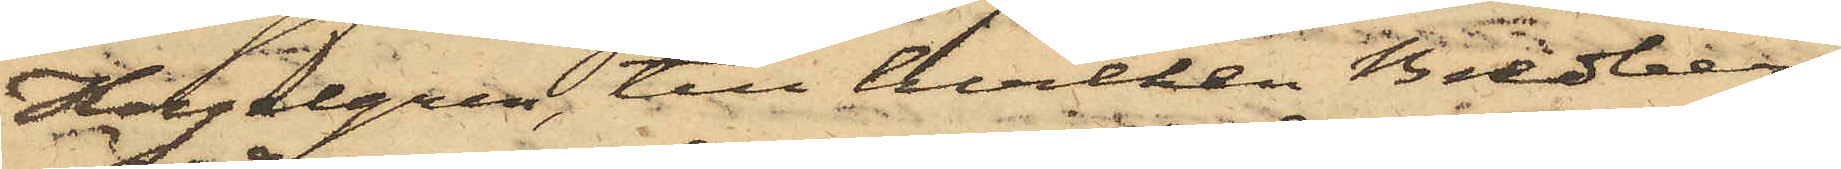Hagelgren, till hvilken Bredberg
